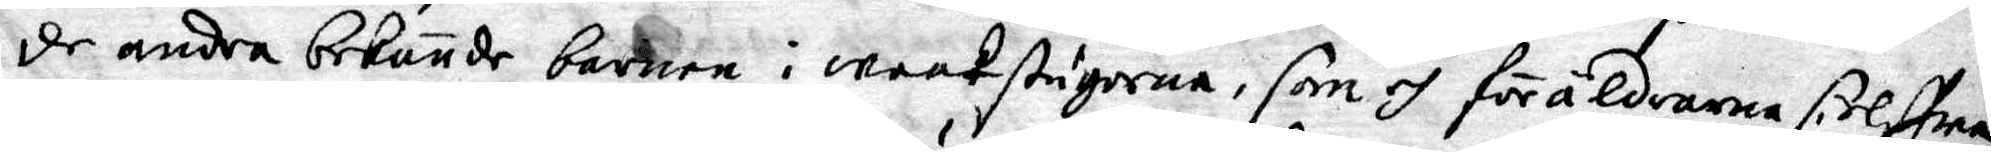de andra bekönde barnen i waaktsugorna, som och föräldrarna sielffwa
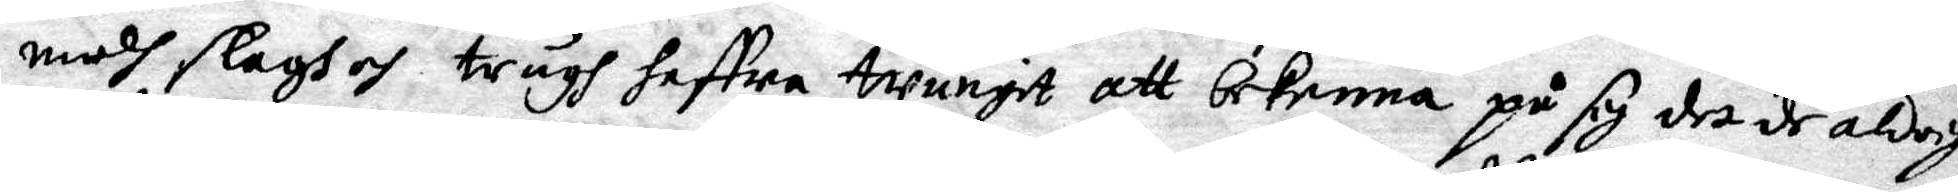medh slagh och trugh haffwa twungit att bekenna på sig det de aldrig
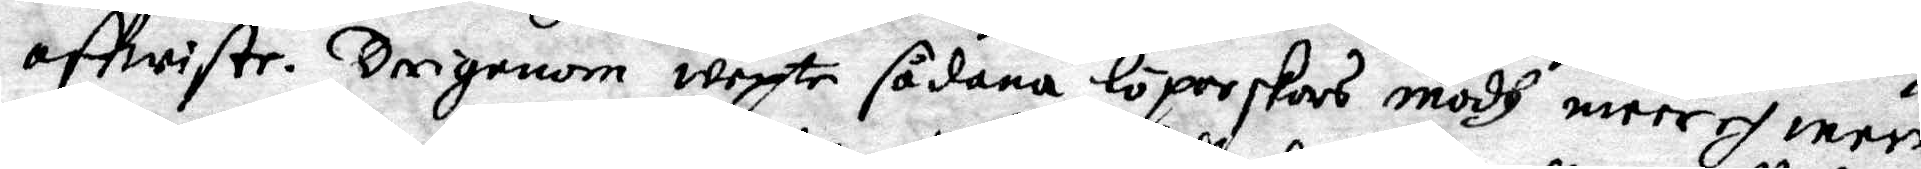affwiste. Deigenom wexte sådana löperskors modh meer och meer,
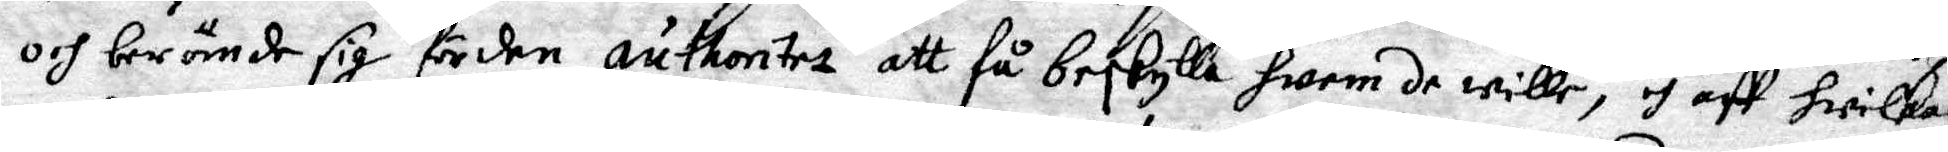och berömde sig för den authoritet att få beskylla hwem de wille, och aff hwilkas
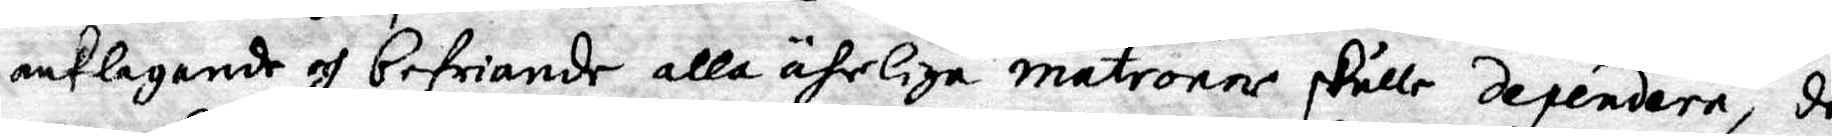anklagande och befriande alla ärliga matroner skulle dependera, de
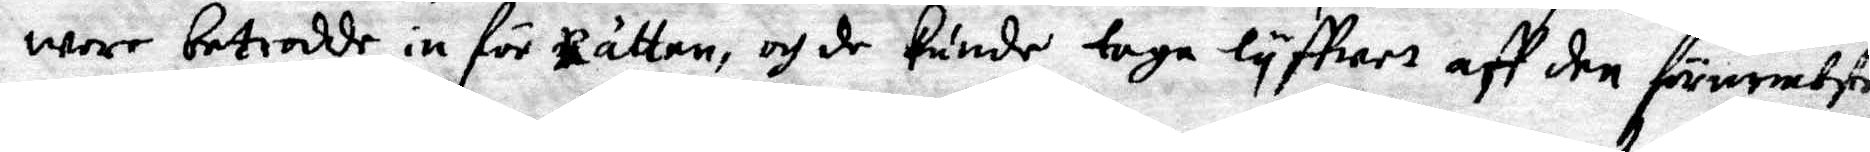war betrodde in för Rätten, och de kunde taga lyffwet aff den förnembste
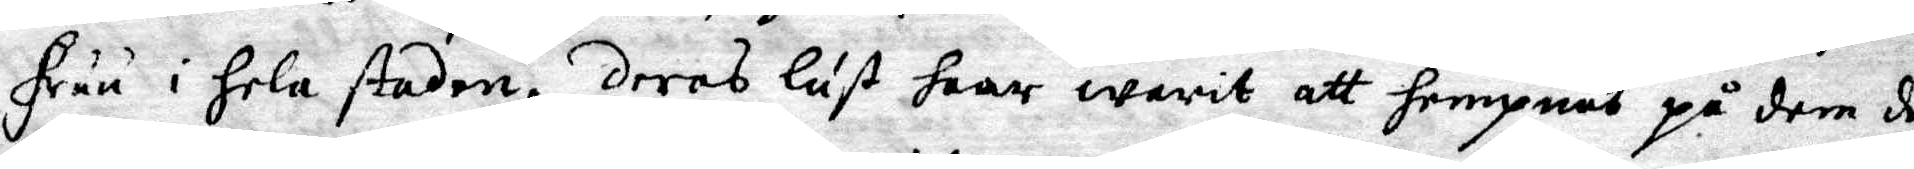fruu i hela staden, deras lust haar warit att hempnas på dem de
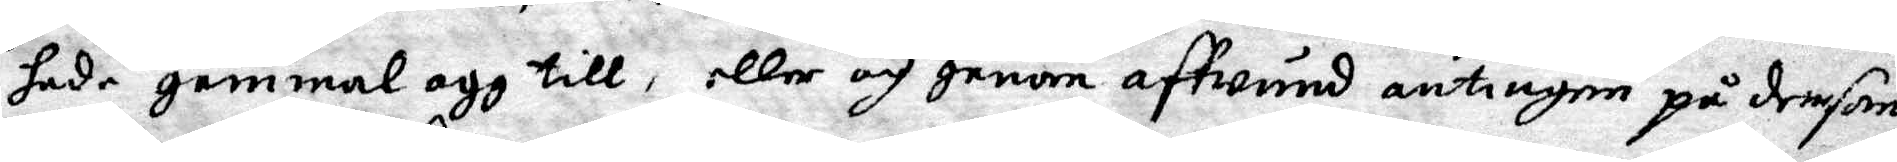hade gammal agg till, eller och genom affwund antingen på dem som
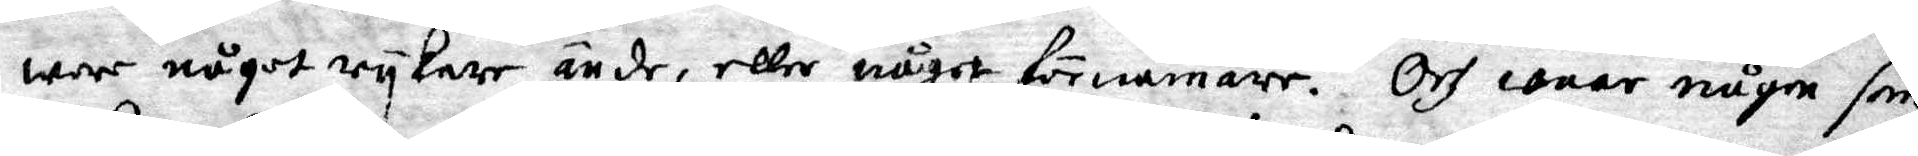war någor rykare än de, eller något förnämare. Och waar några som
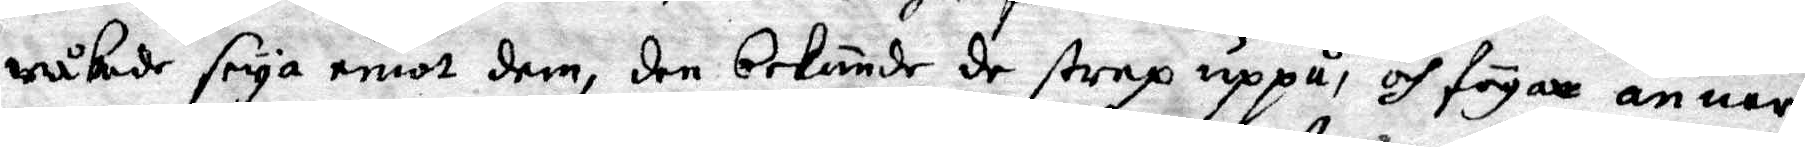råkade seiga emot dem, den bekände de strax uppå, och fögar annars
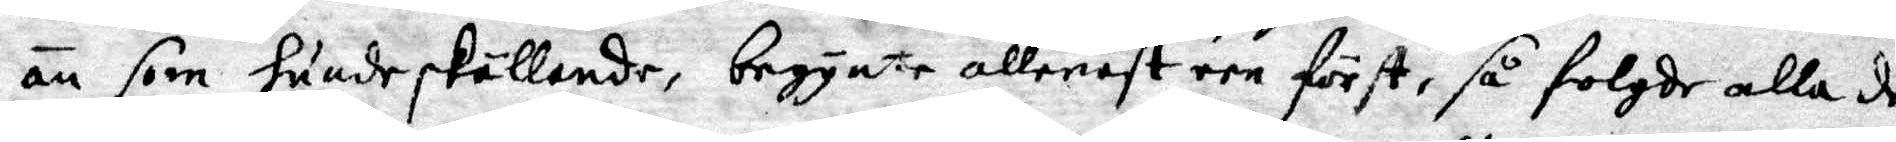än som hundeskällande, begynte allenast een först, så folgde alla de
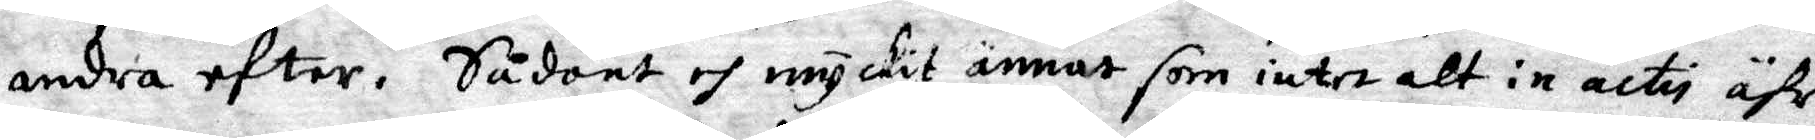andra efter. Sådant och myckit ännat som intet alt in actii ähr
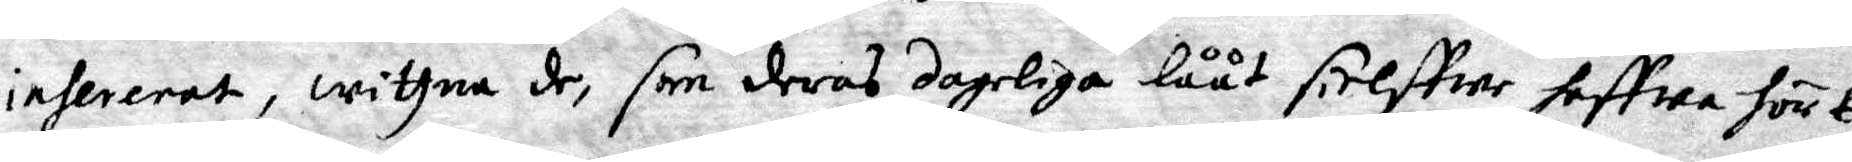infererat, wittna de, som deras dageliga lååt sielffwe haffwa hört
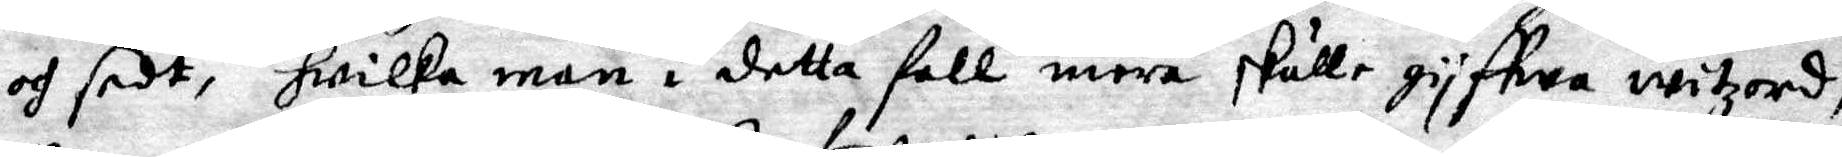och sedt, hwilka man i detta fall mera skulle gyffwa witzord,
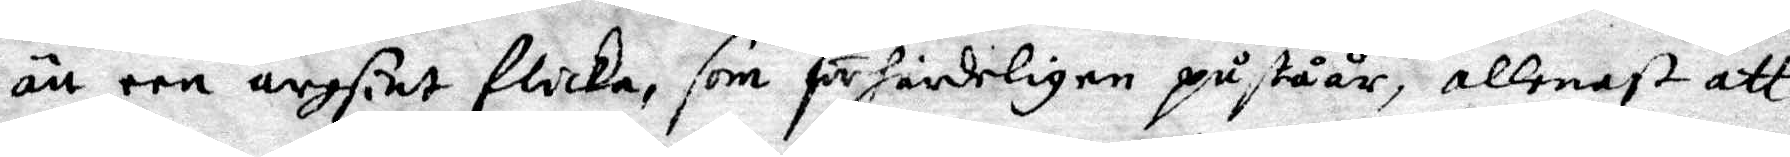än een argsint flicka, som förhårdeligen påståår, allenast att
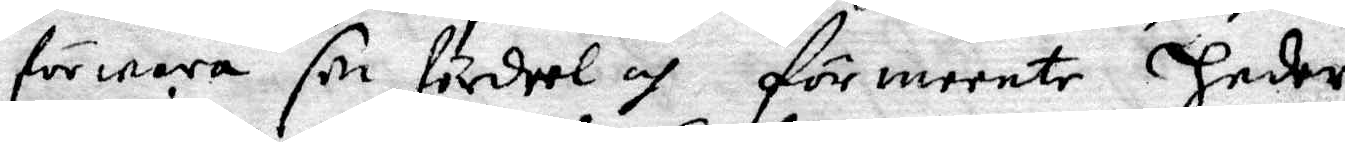förwara sin fördeel och förmeente Heder.
